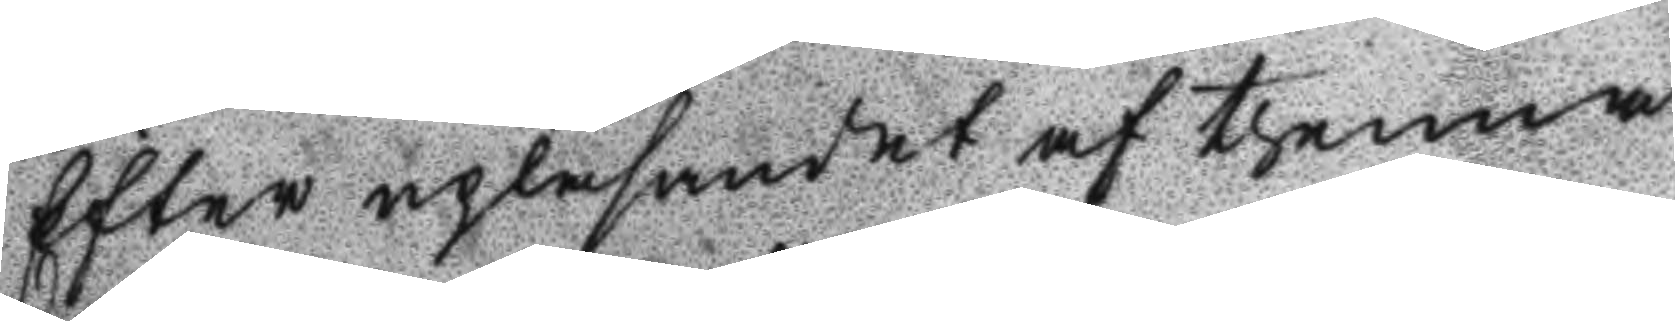Efter upläsandet af thenna
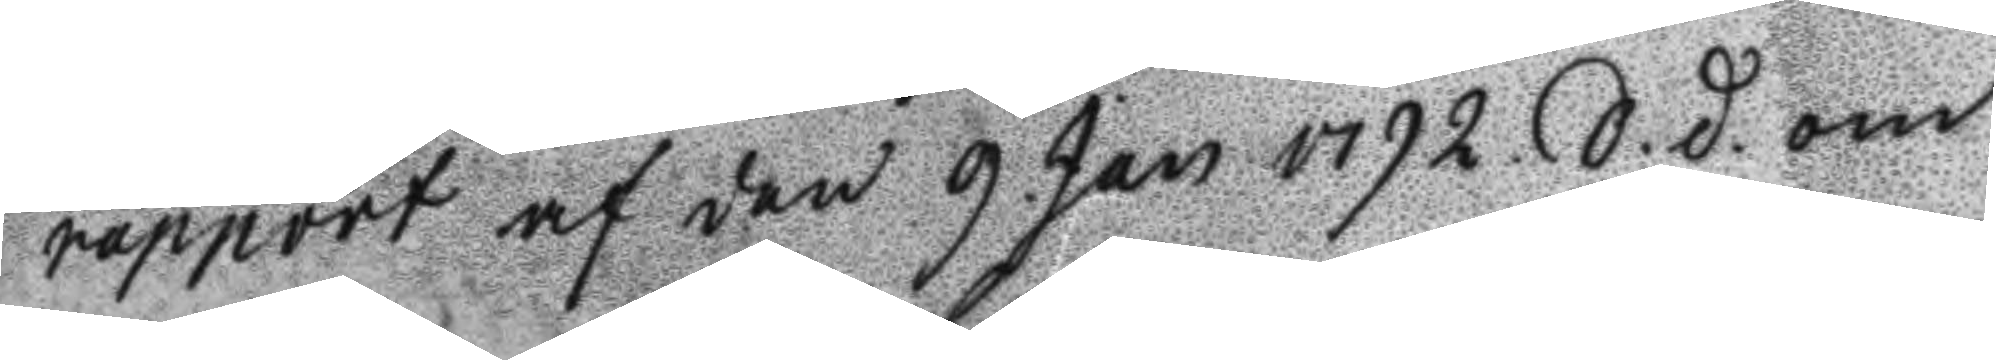rapport af den 9. Jan 1792 S.d. om 
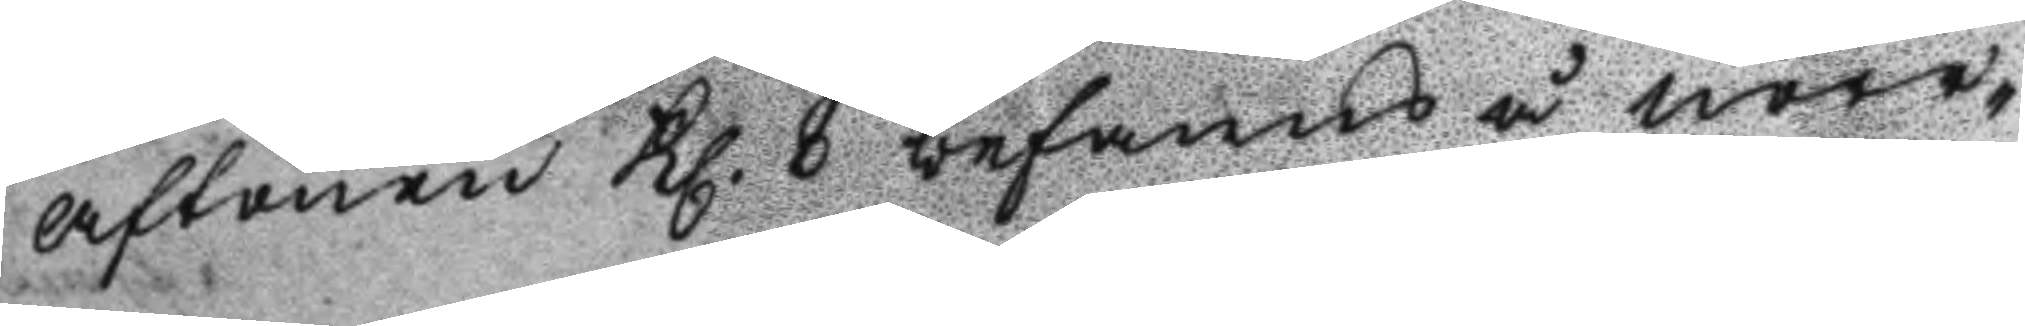aftonen Kl. 8 befans å nore¬
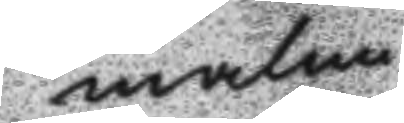malm
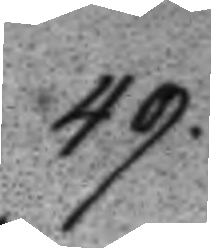49.
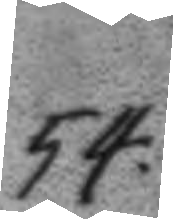54.
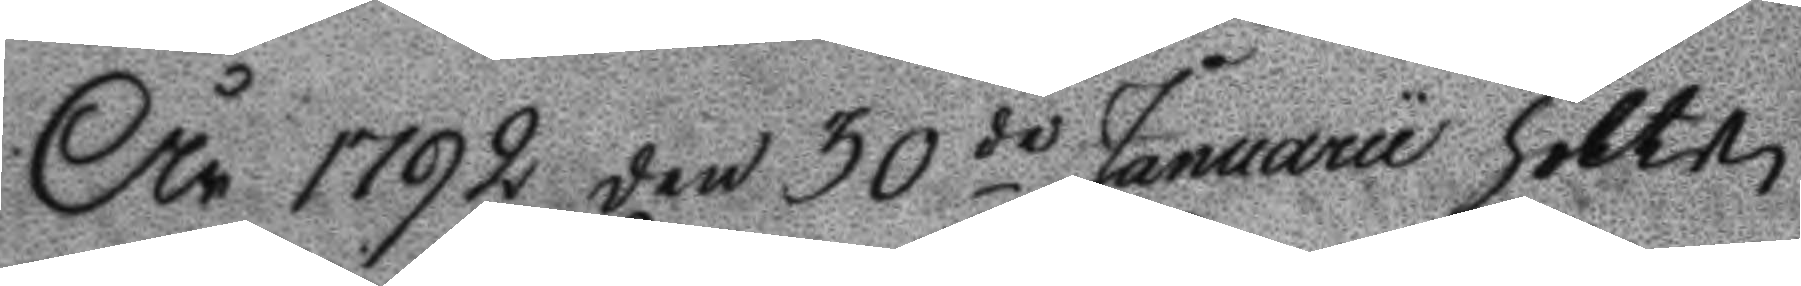År 1792 den 30de Januarii hölts
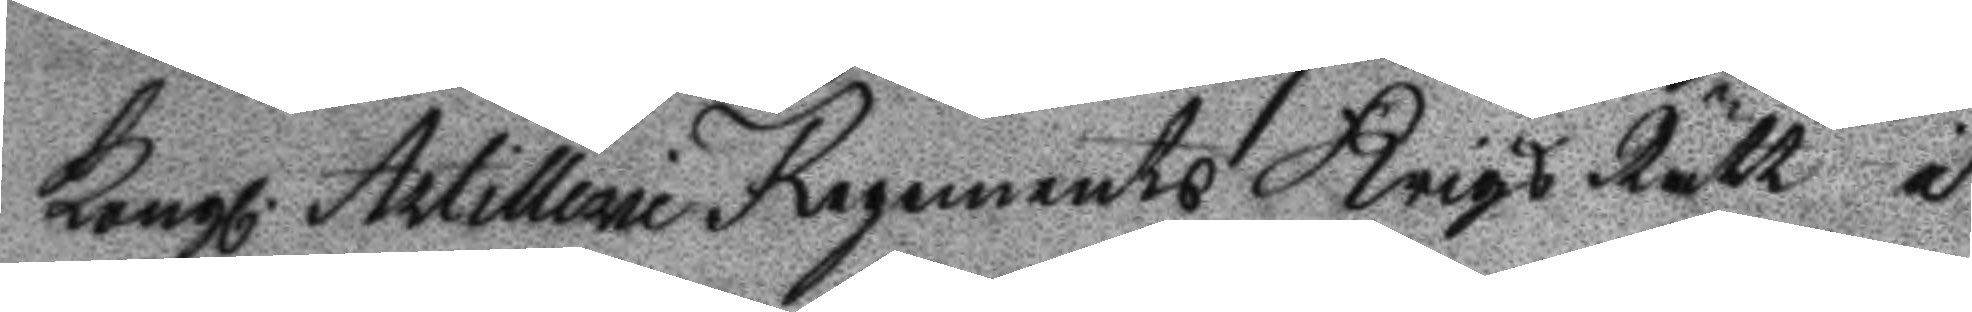Kongl. Artilliare Regemnets Krigz Rätt i
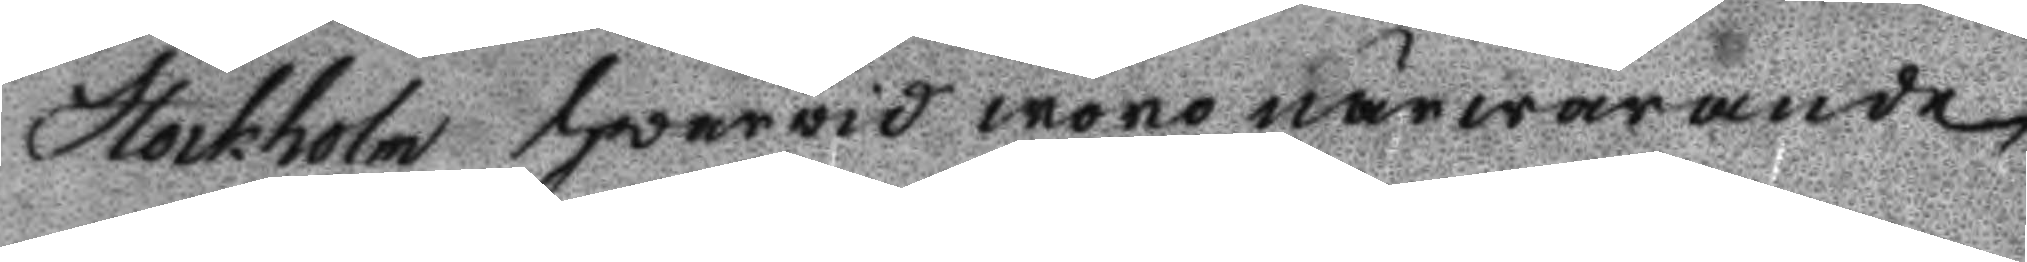Stockholm hwarvid woro närwarande
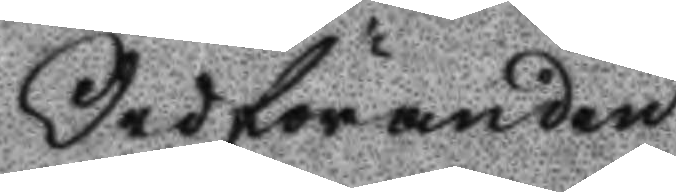Ordföranden
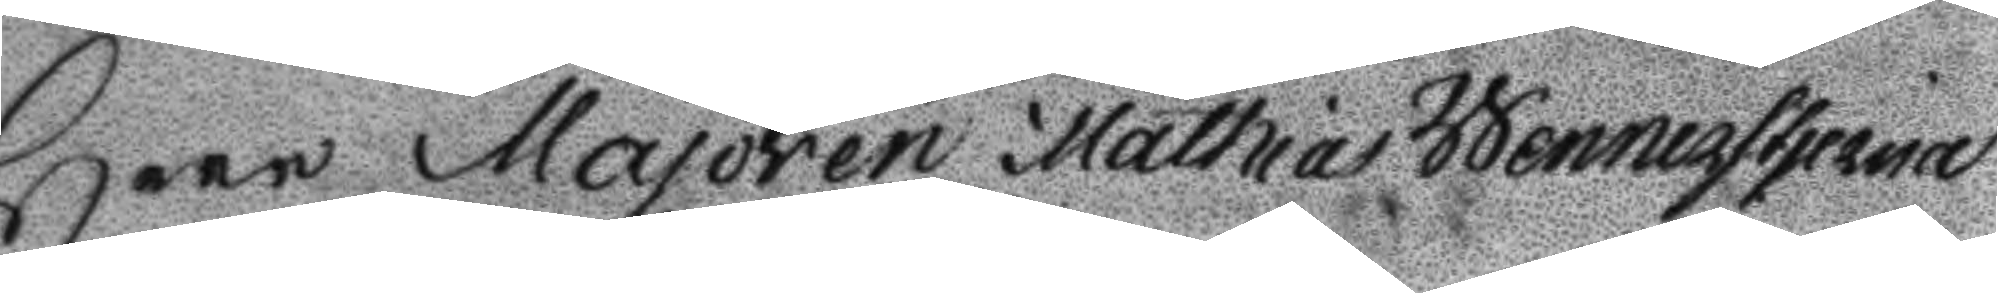Herr Majoren Mattias Wennerstjerna
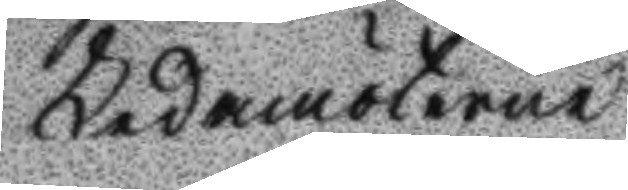Ledamöterne
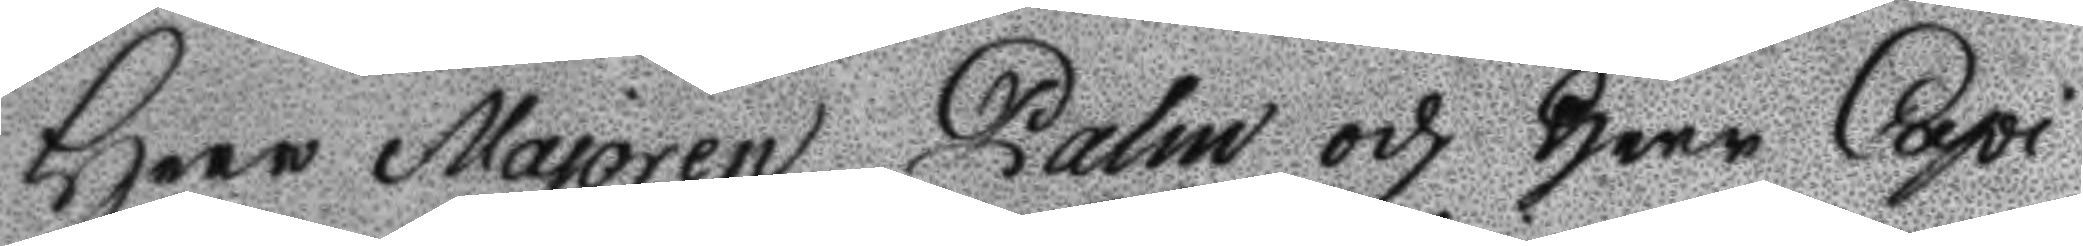Herr Majoren Palm och Herr Capi¬
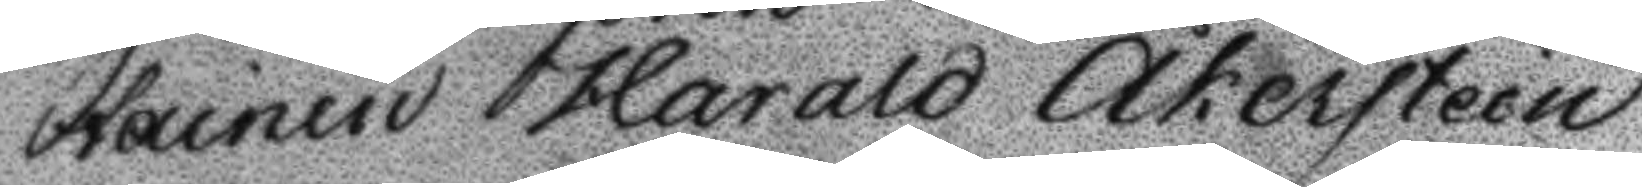tainen Harald Åkerstein
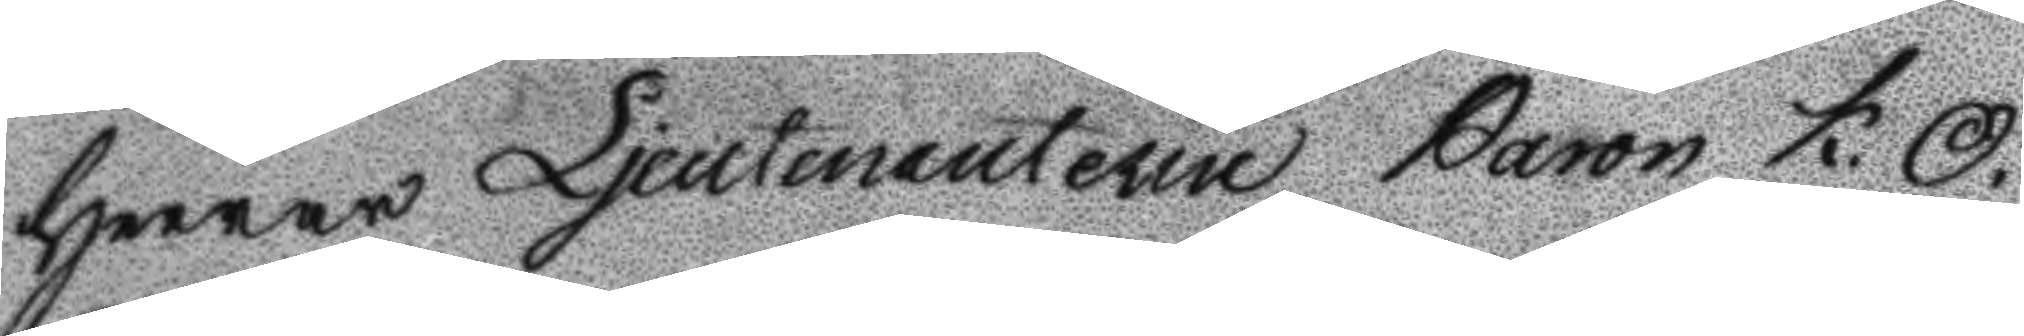Herrar Ljeutenantere Baron K. O.
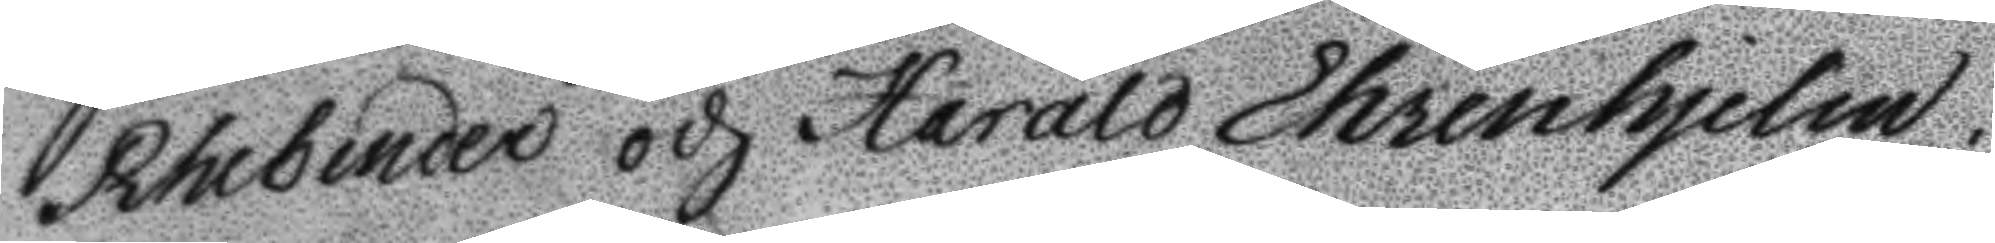Rhebinder och Harald Ehrenhjelm.
